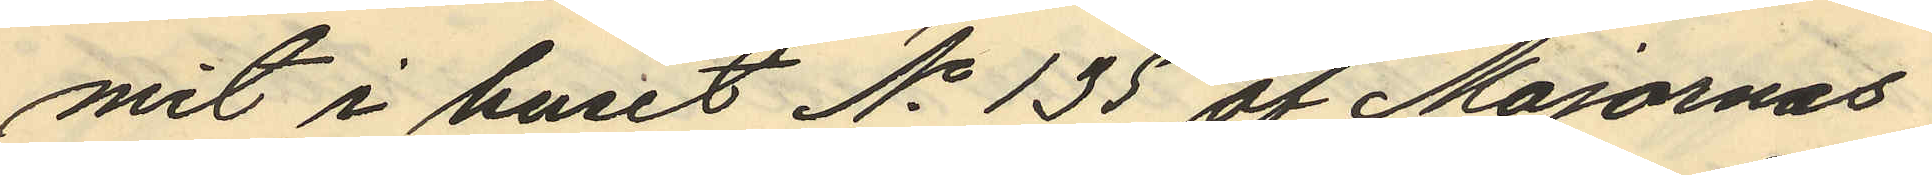mit i huset No 135 af Majornas
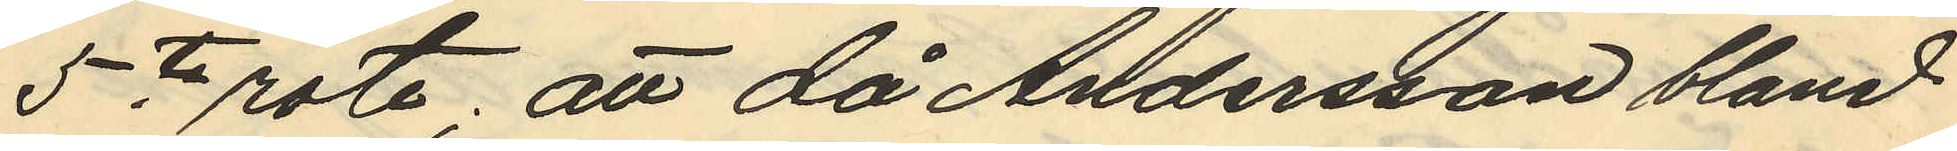5te rote; att då Andersson bland
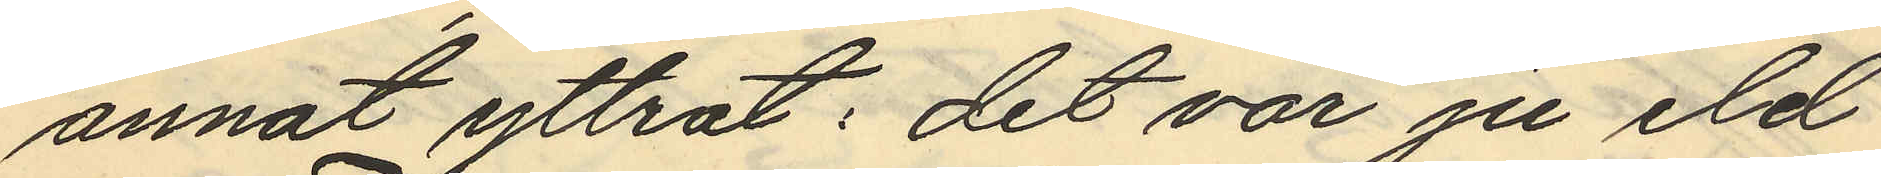annat yttrat: "det var ju eld
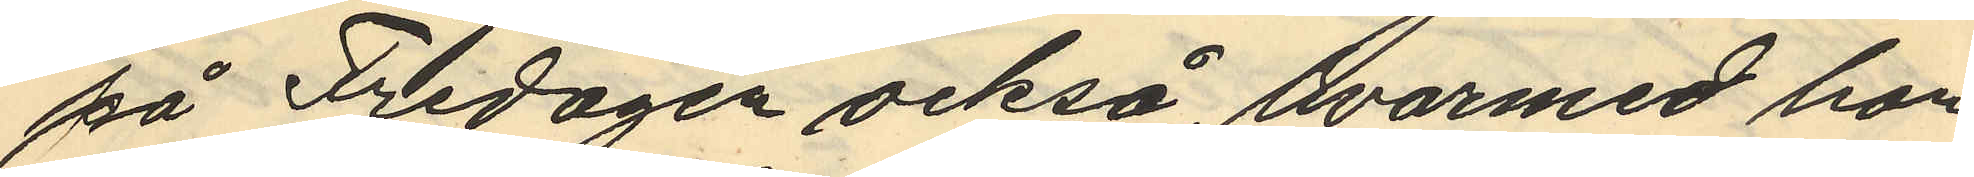på Fredagen också, hvarmed hon
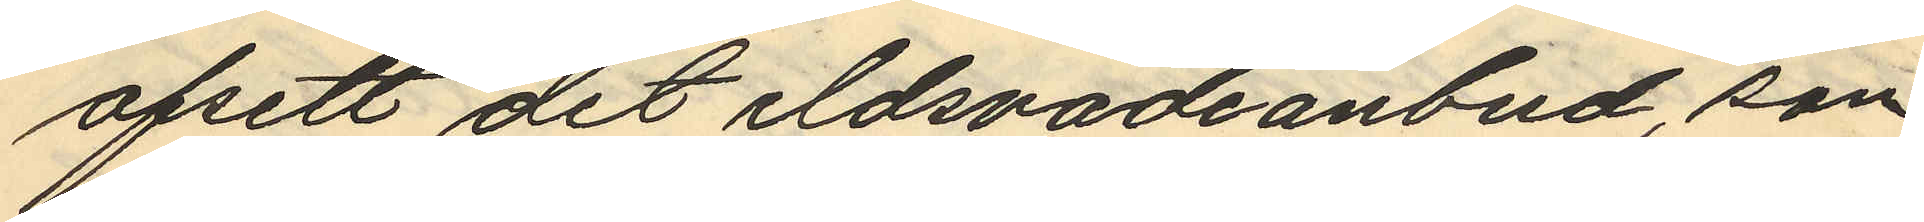afsett det eldsvådeanbud som
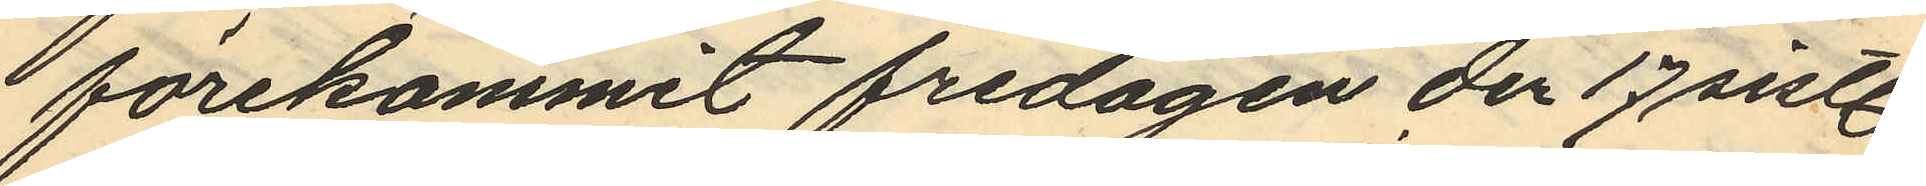förekommit fredagen der 17 sistl.
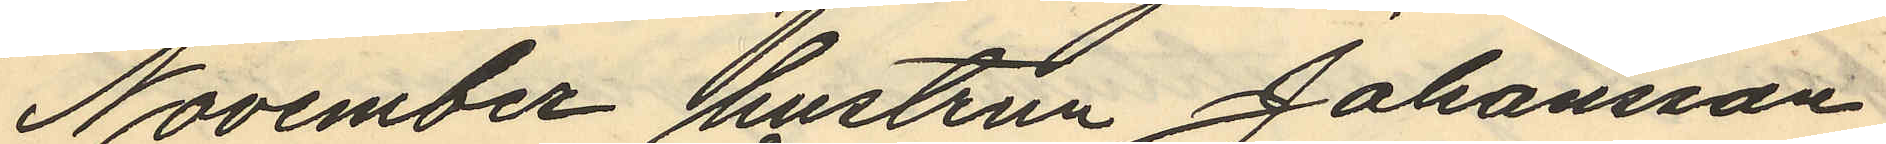November hustrun Johansson
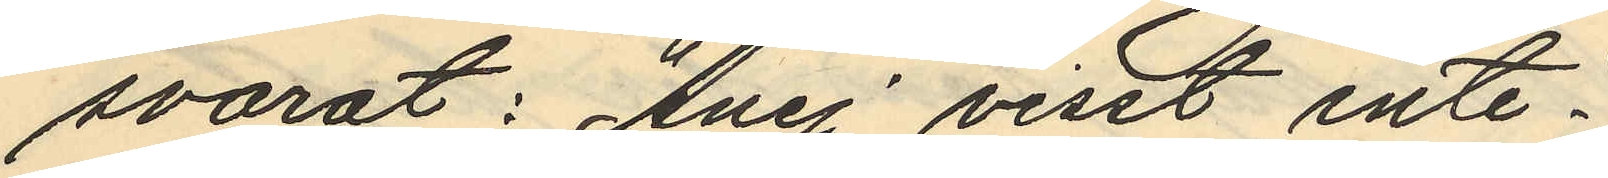svarat : "Ånej, visst inte".
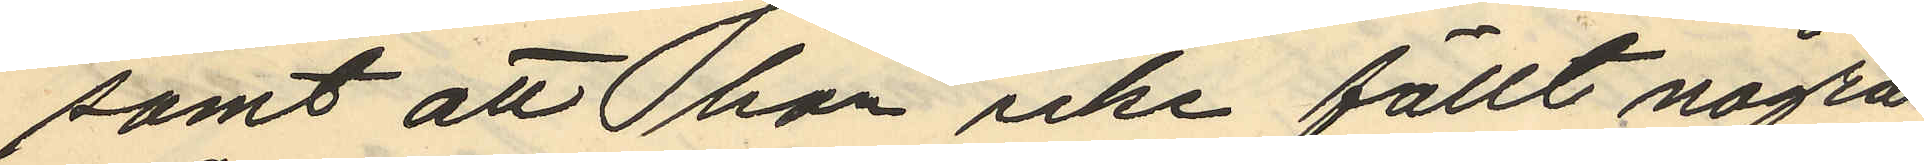samt att hon icke fällt några
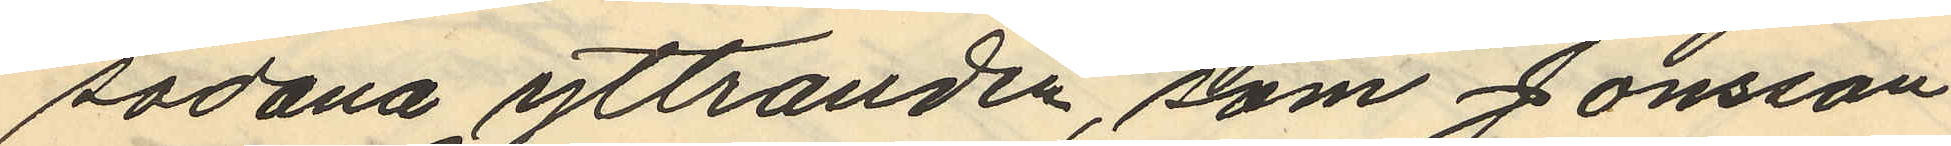sådana yttranden, som Jonsson
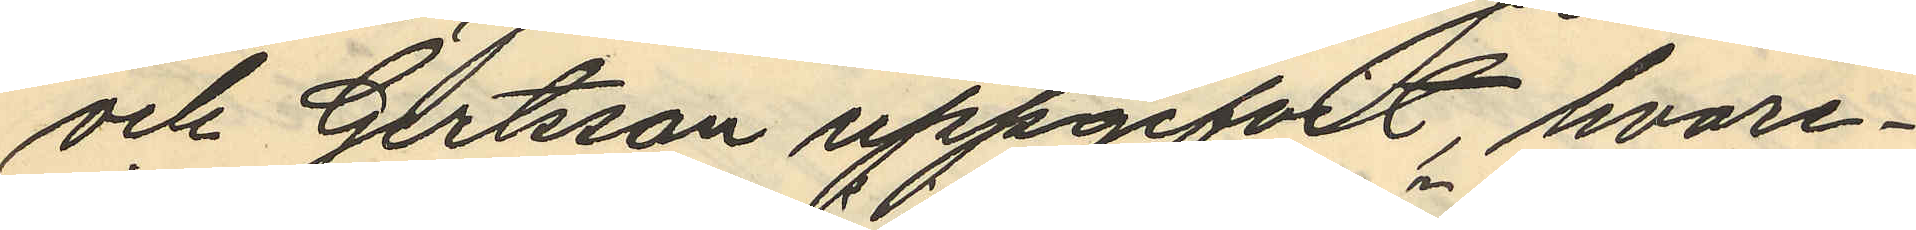och Gertsson uppgifvit, hvare¬
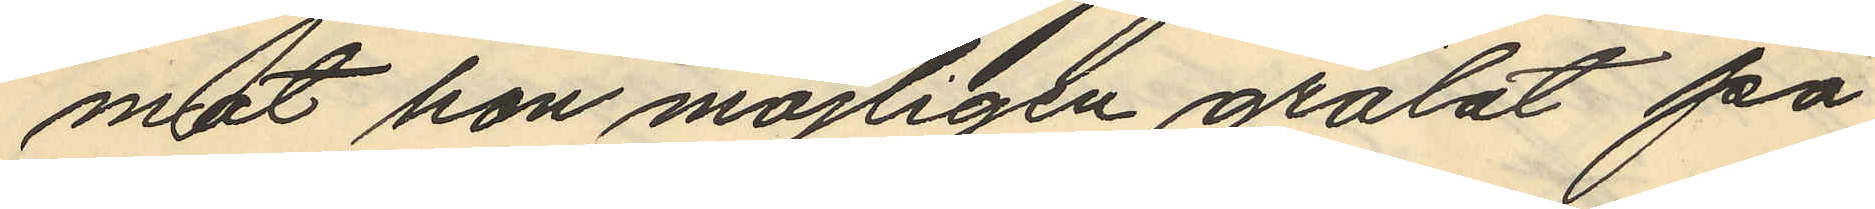mot hon möjligen grälat på
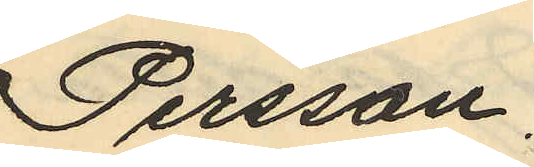Persson.
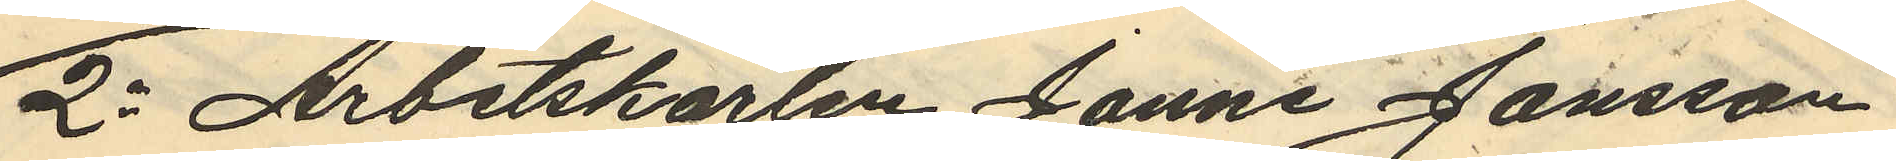2o Arbetskarlen Janne Jansson
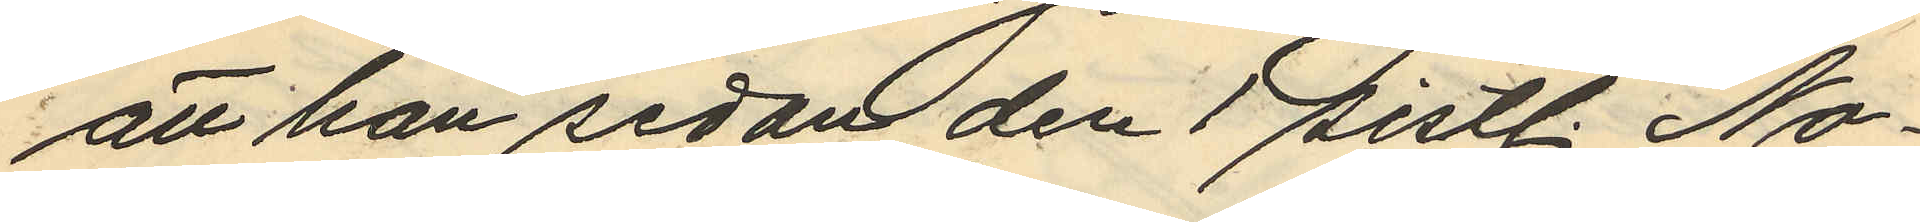att han sedan den 1 sistl. No¬
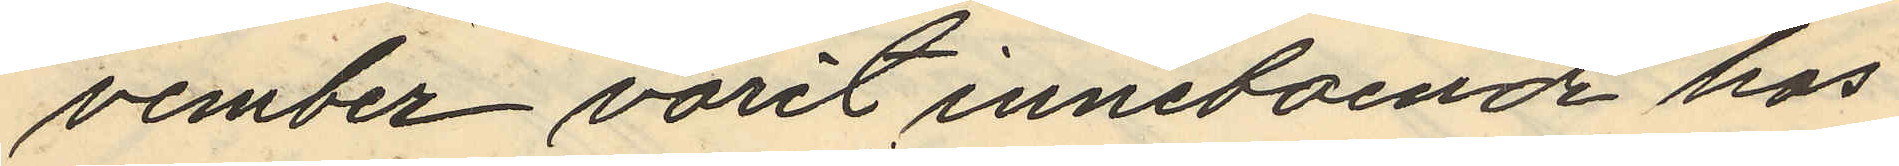vember varit inneboende hos
